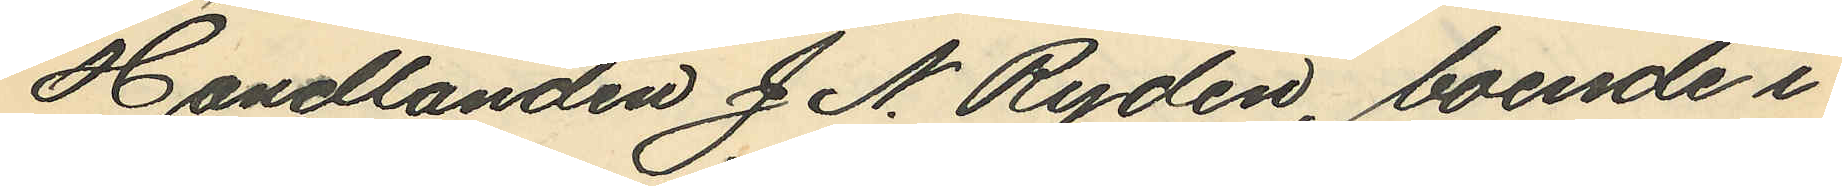Handlanden J. N. Rydén, boende i
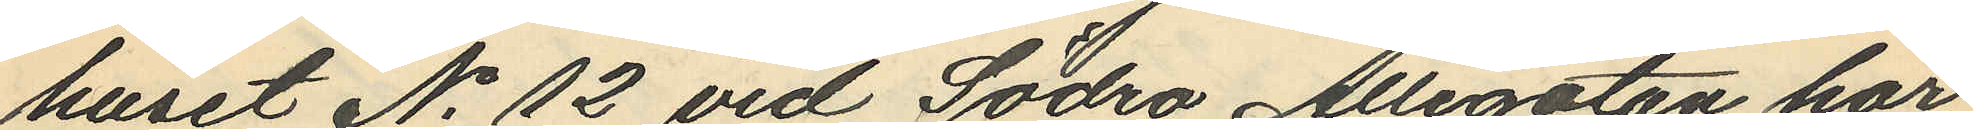huset No 12 vid Södra Allégatan har
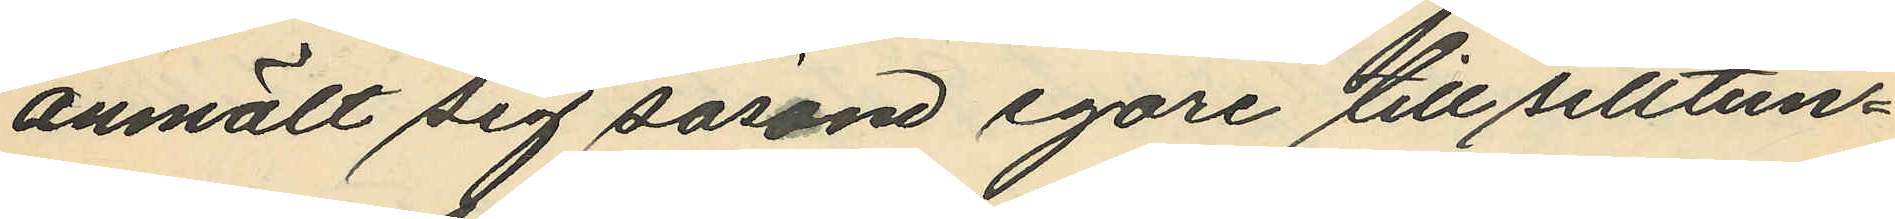anmält sig såsom egare till silltun¬
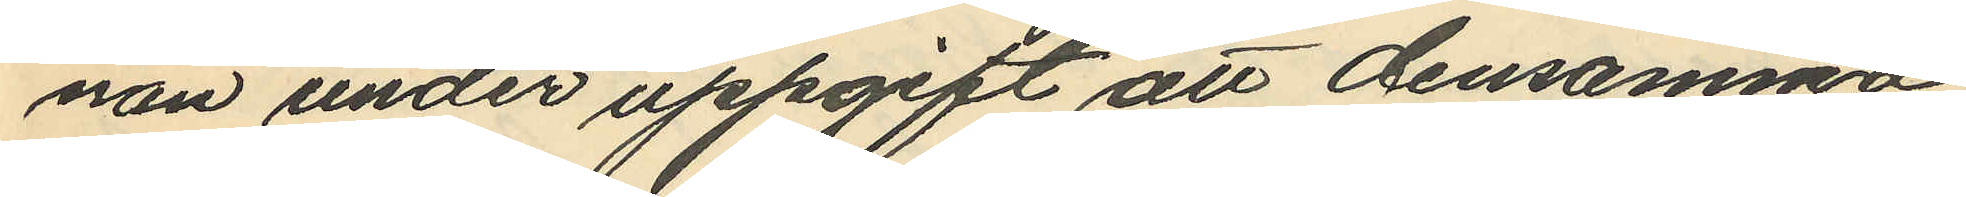nan under uppgift att densamma
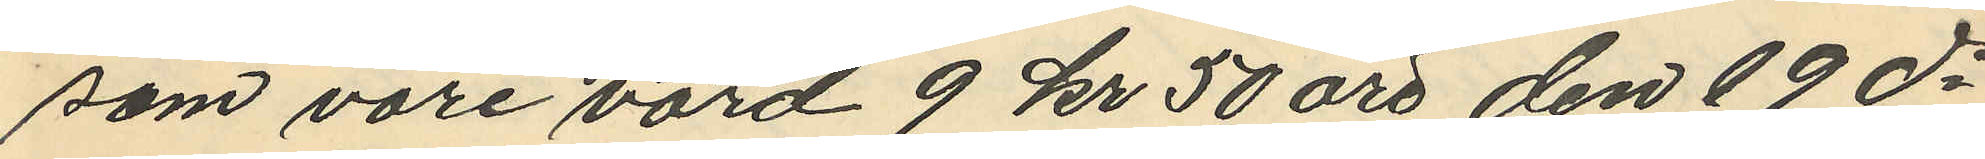som vore värd 9 kr 50 öre den 19 ds
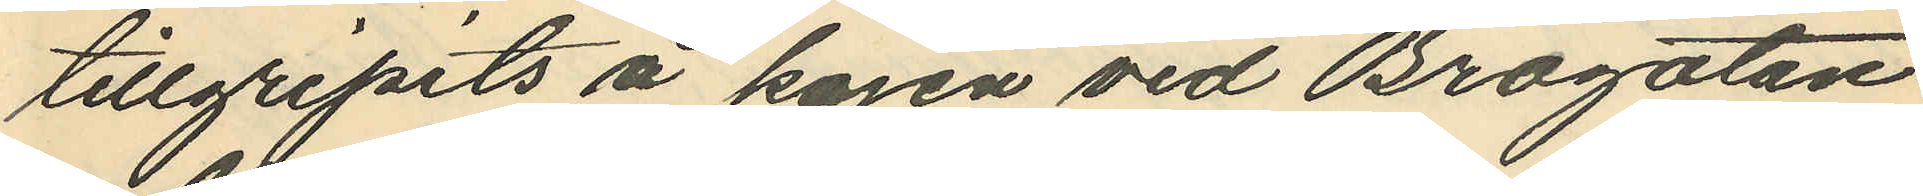tillgripits å kajen vid Brogatan
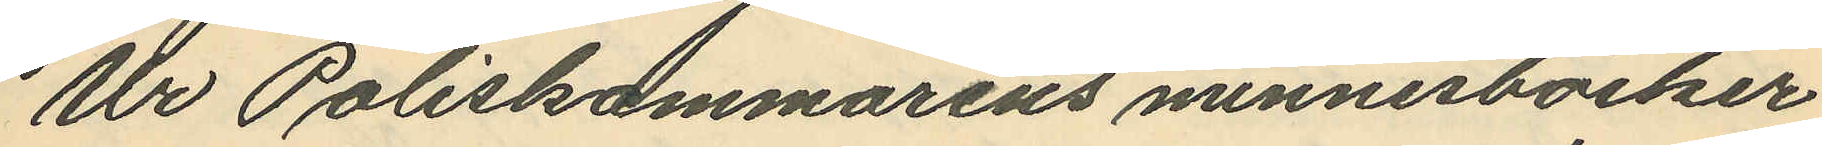Ur Poliskammarens minnesböcker
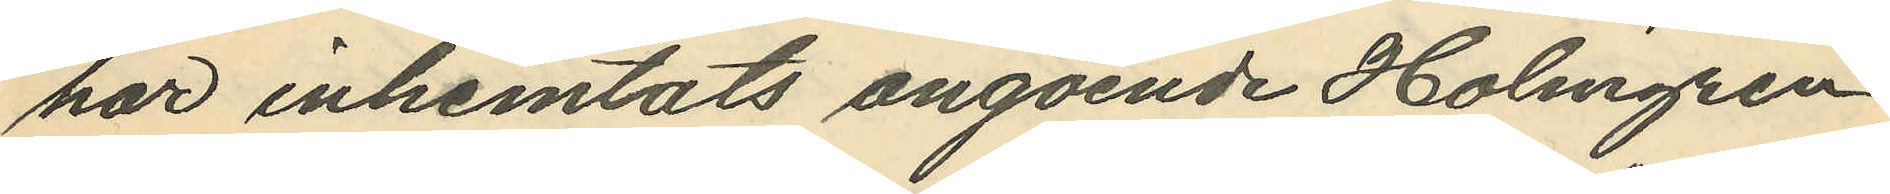här inhemtats angående Holmgren,
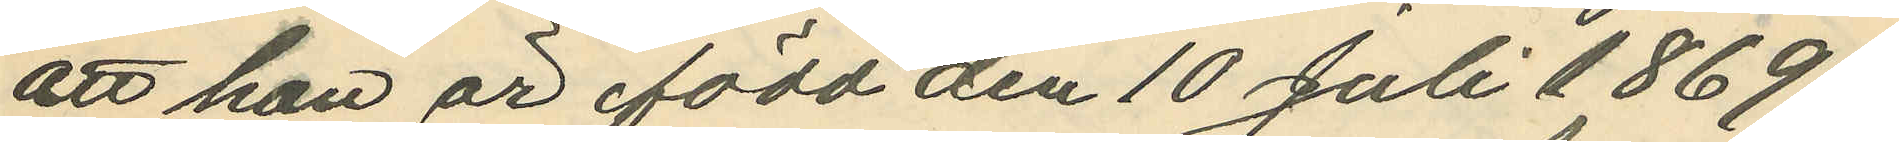att han är född den 10 Juli 1869
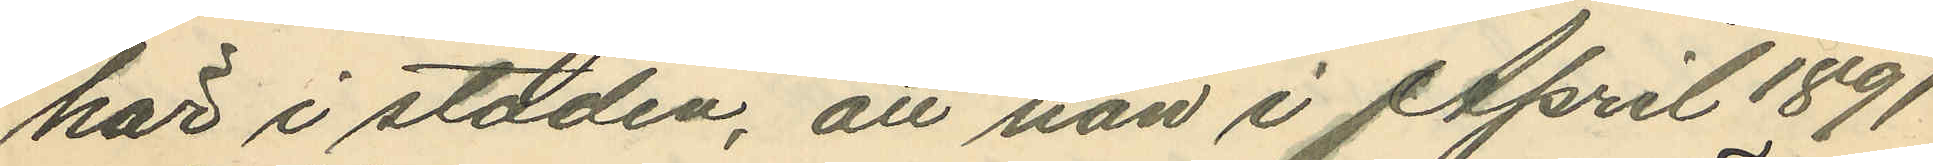här i staden, att han i April 1891
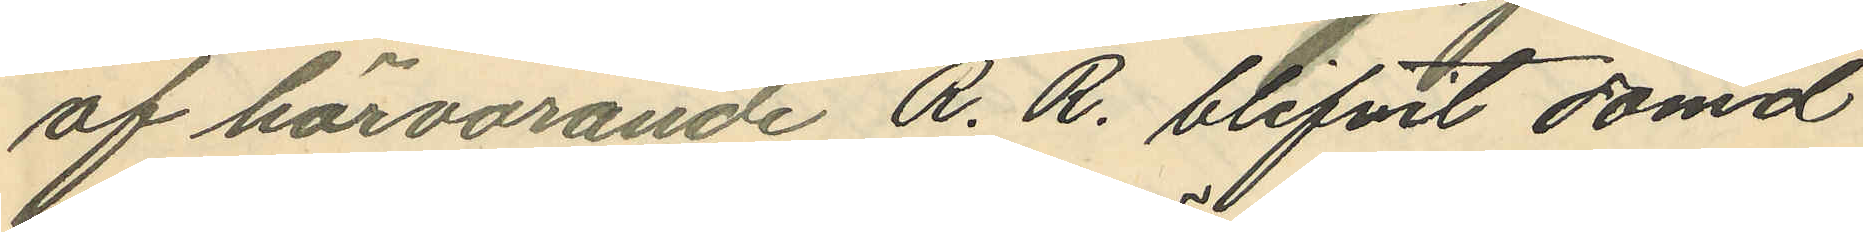af härvarande R.R. blifvit dömd
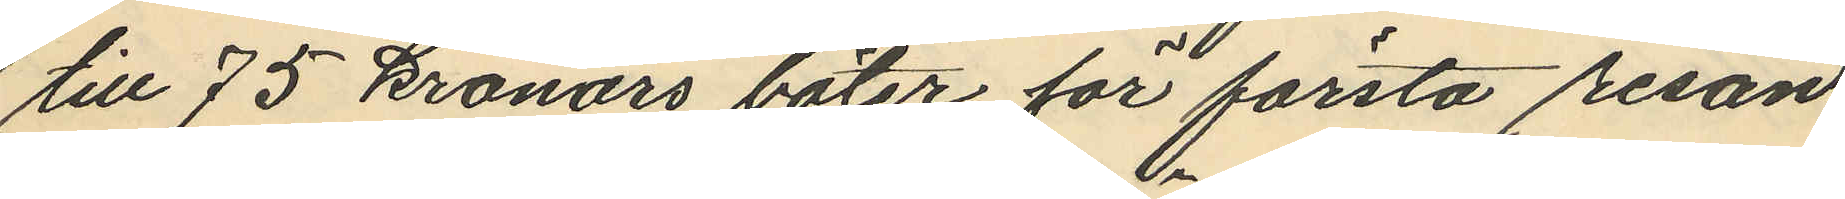till 75 kronors böter för första resan
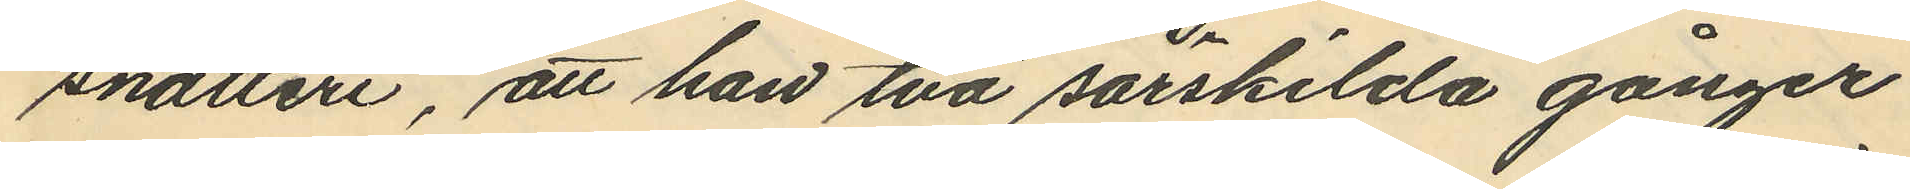snatteri, att han två särskilda gånger
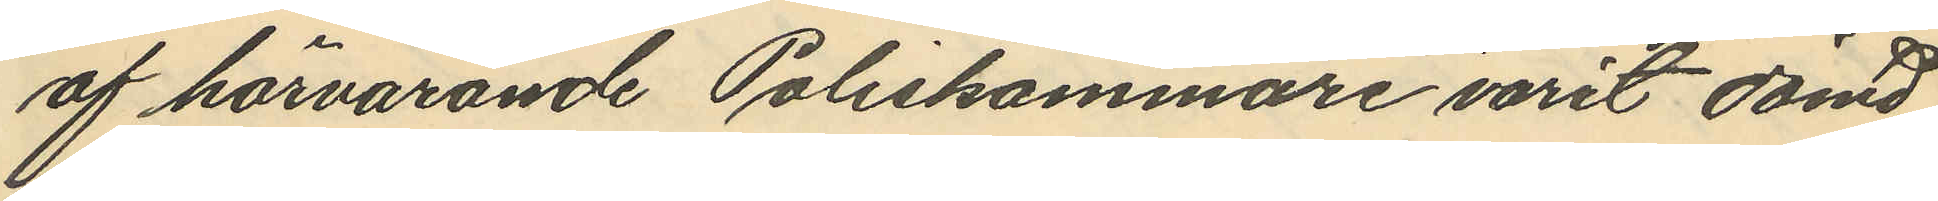af härvarande Poliskammare varit dömd
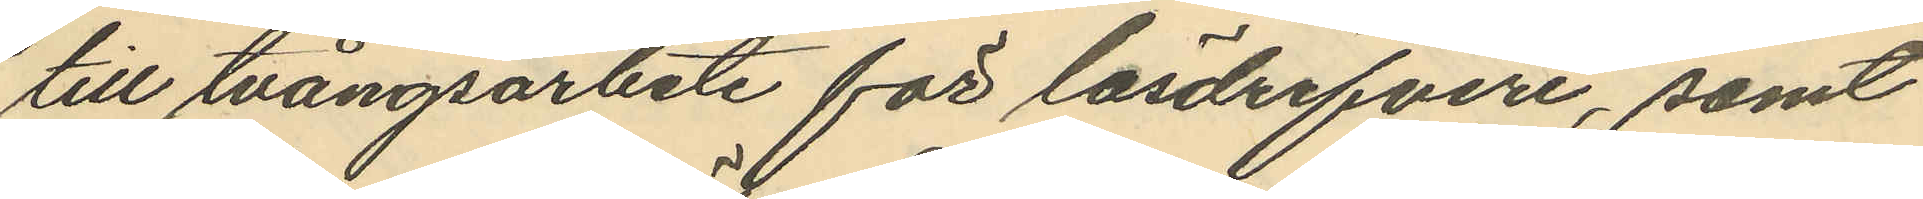till tvångsarbete för lösdrifveri, samt
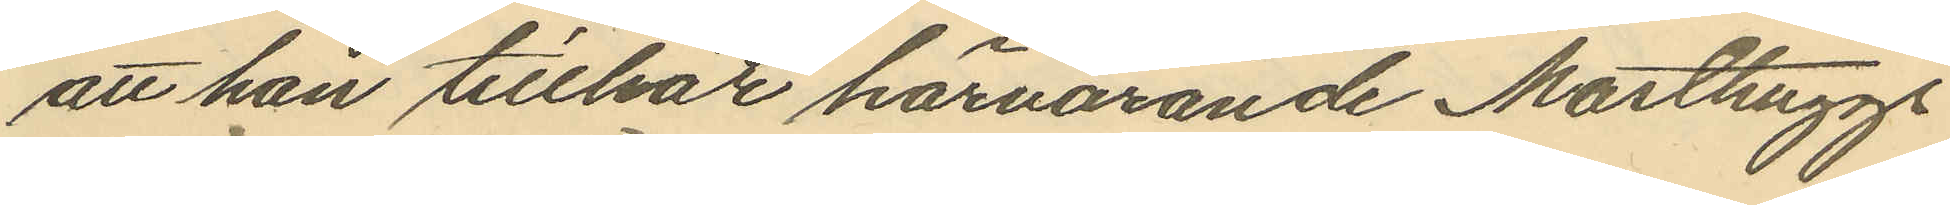att han tillhör härvarande Masthuggs
